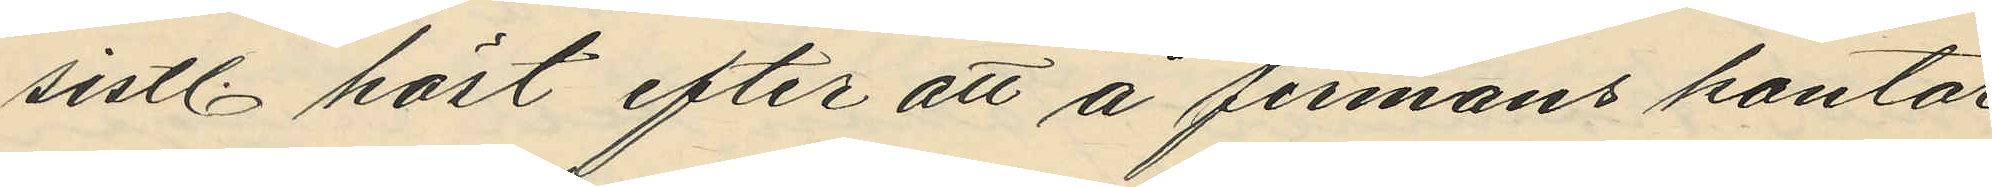sistl. höst efter att å firmans kontor
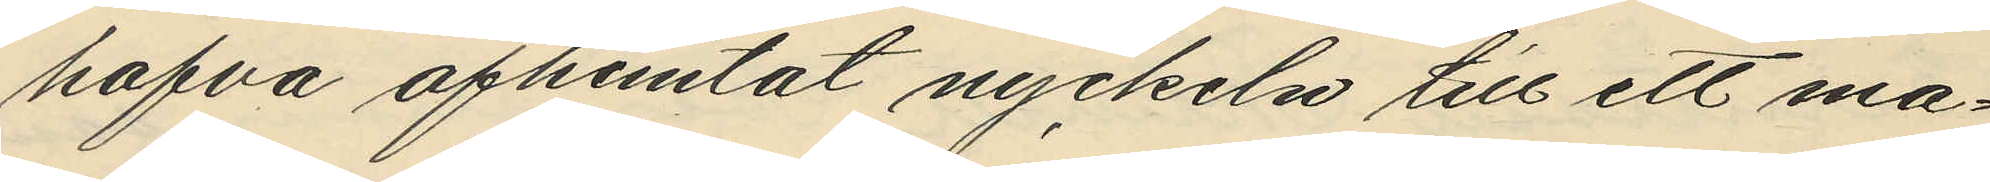hafva afhemtat nyckeln till et ma¬
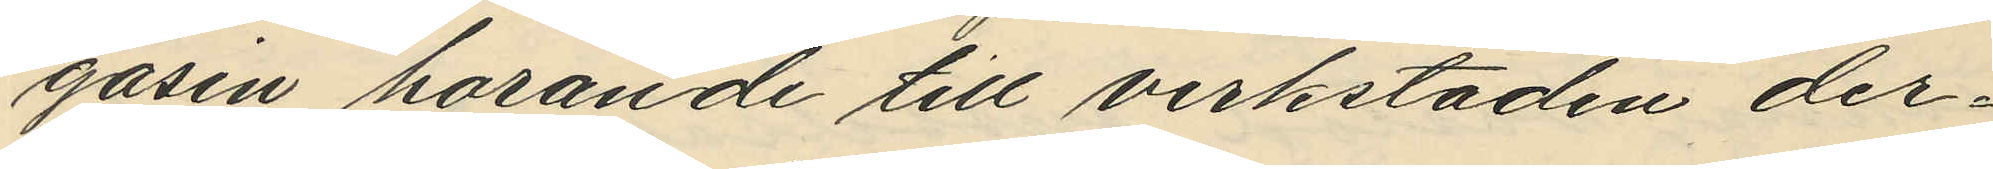gasin horande till verkstaden der¬
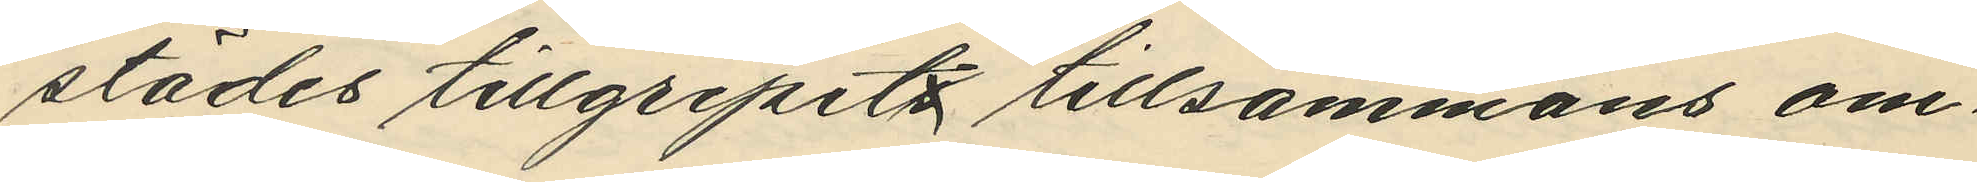städes tillgripts tillsammans om¬
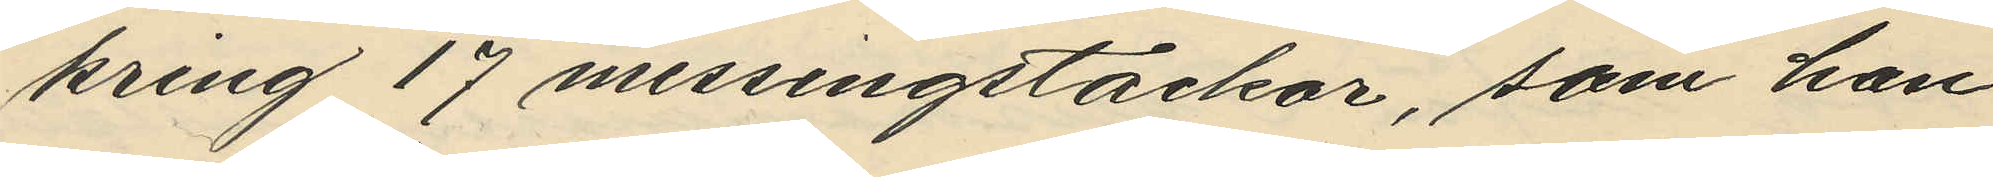kring 17 messingstackor, som han
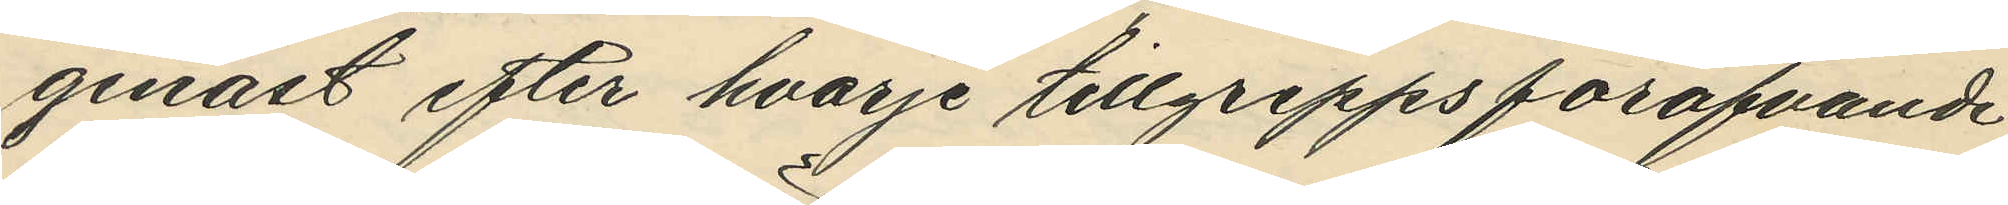genast efter hvarje tillgrepps föröfvande
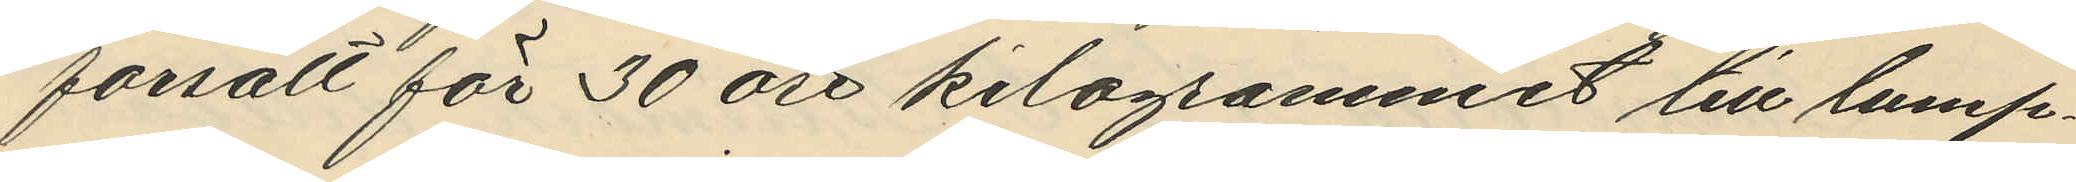försålt för 30 öre kilogrammet till lump¬
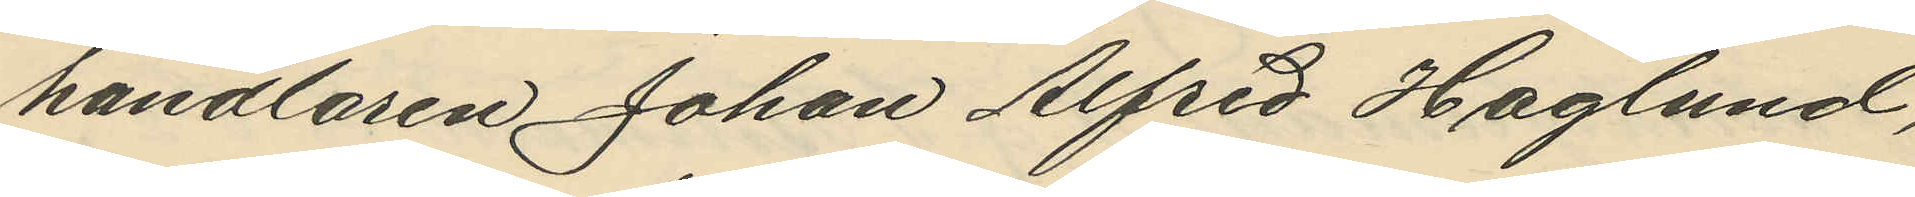handlaren Johan Alfred Haglund, 
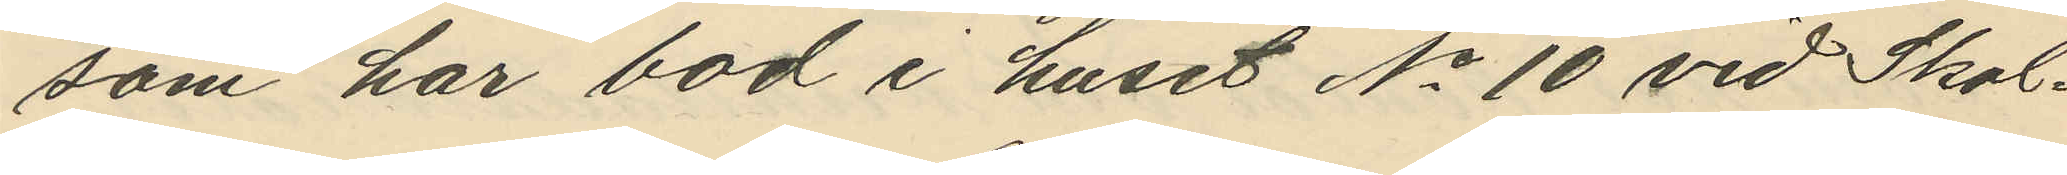som har bod i huset No 10 vid Skol¬
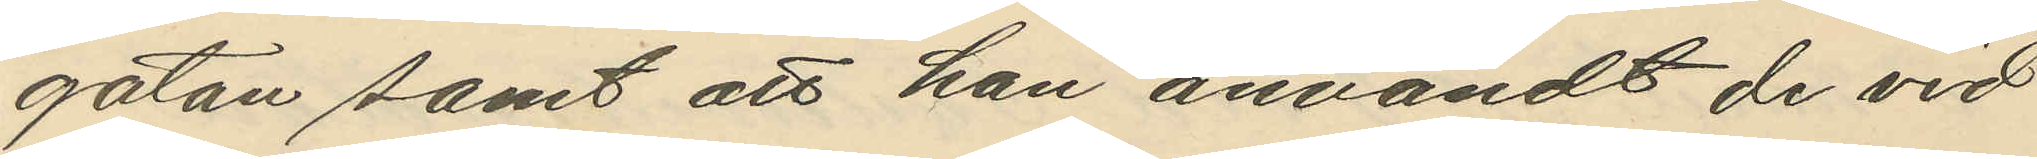gatan samt att han användt de vid
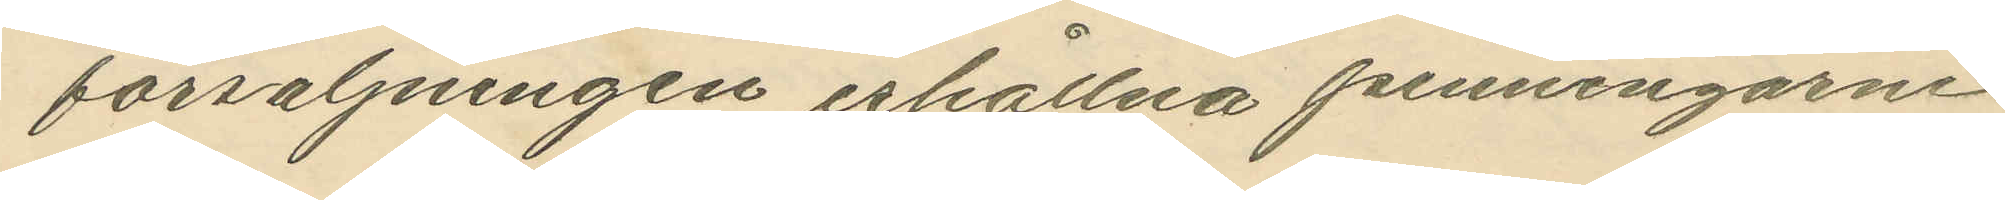försäljningen erhållna penningarne
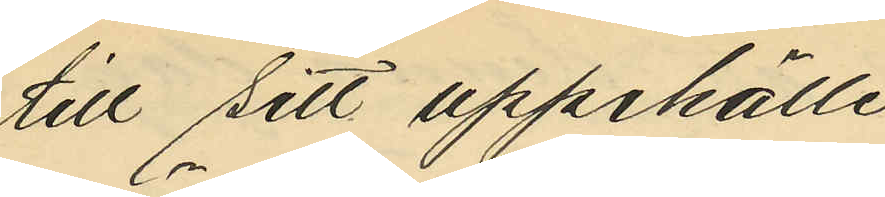till sitt uppehälle
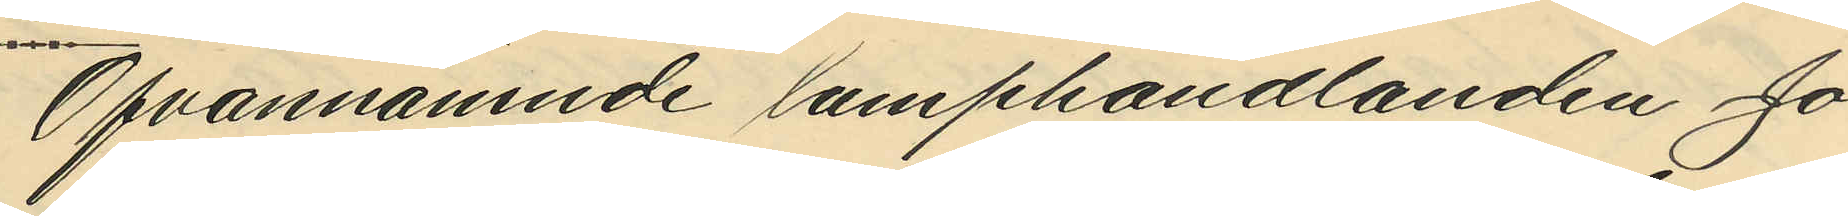Ofvannämnde lumphandlanden Jo¬
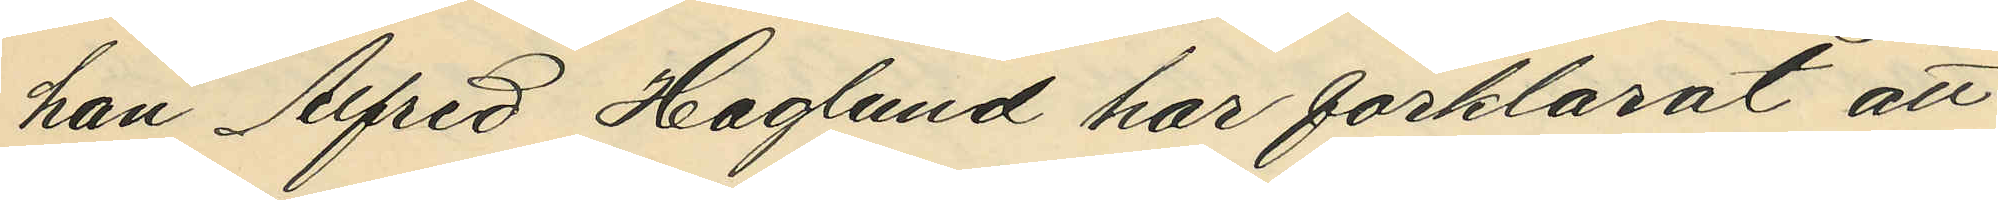han Alfred Haglund har förklarat att
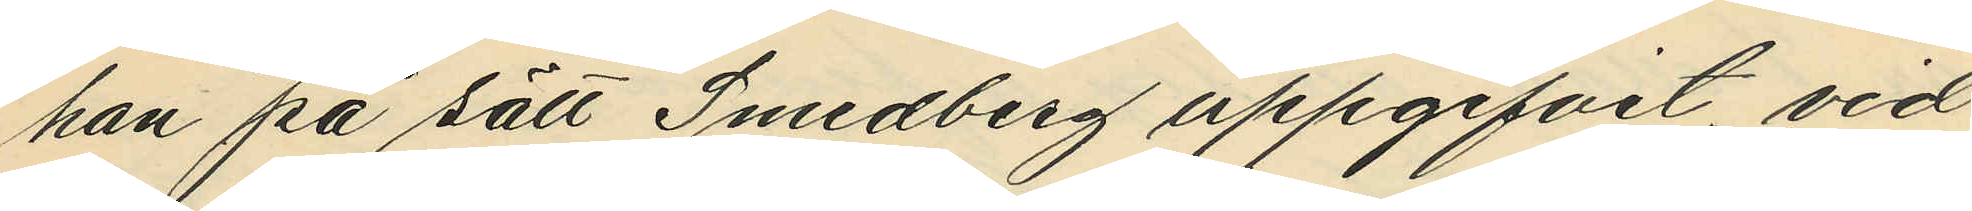han på sätt Smedberg uppgifvit, vid
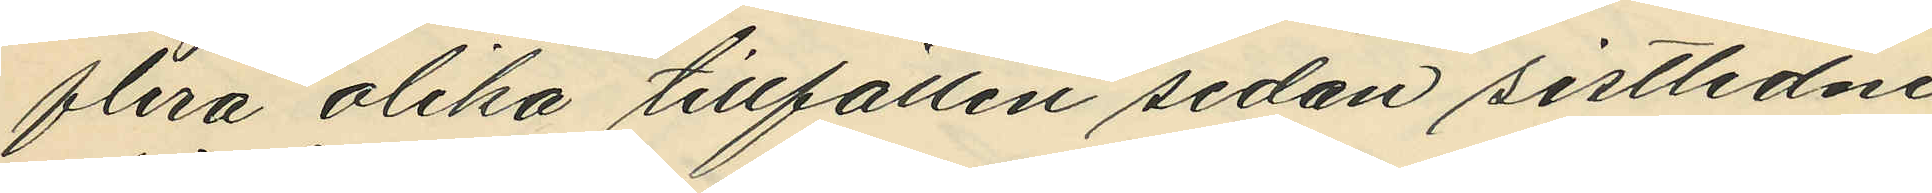flera olika tillfällen sedan sistlidne
